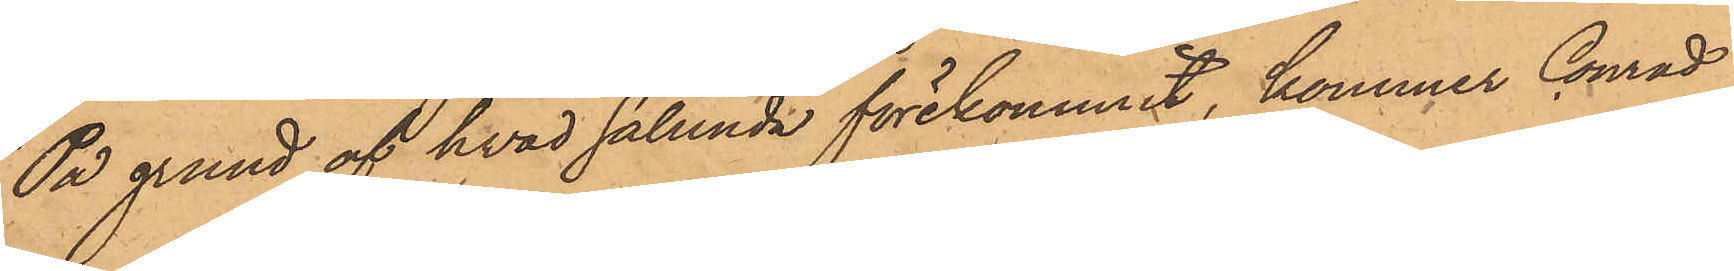På grund af hvad sålunda förekommit, kommer Conrad
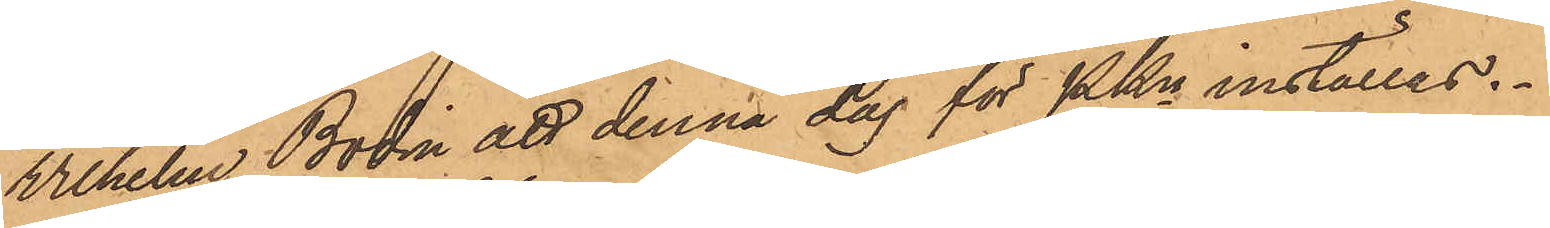Wilhelm Bodin att denna dag för PKn inställas.
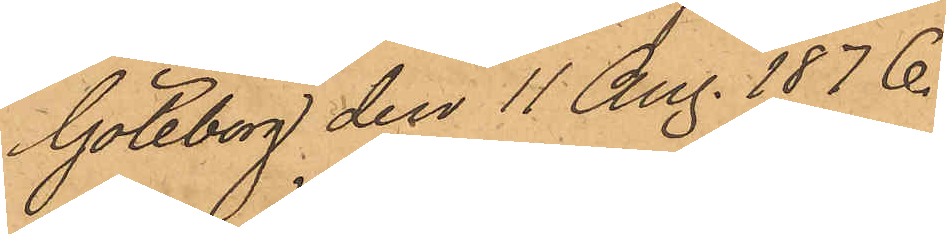Göteborg den 11 Aug. 1876.
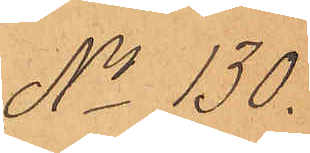No 130.
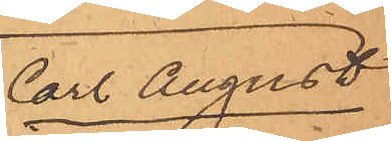Carl August
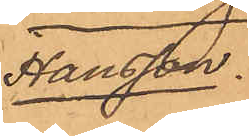Hansson.
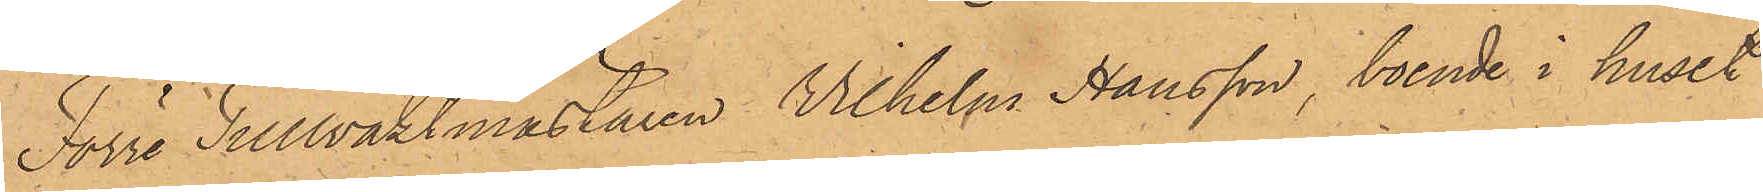Förre Tullvaktmästaren Wilhelm Hansson, boende i huset
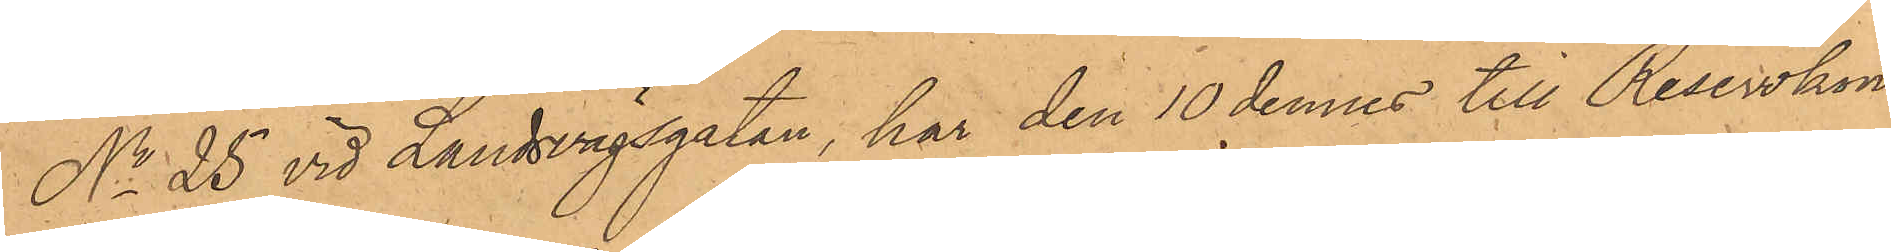No 25 vid Landsvägsgatan, har den 10 dennes till Reservkon¬
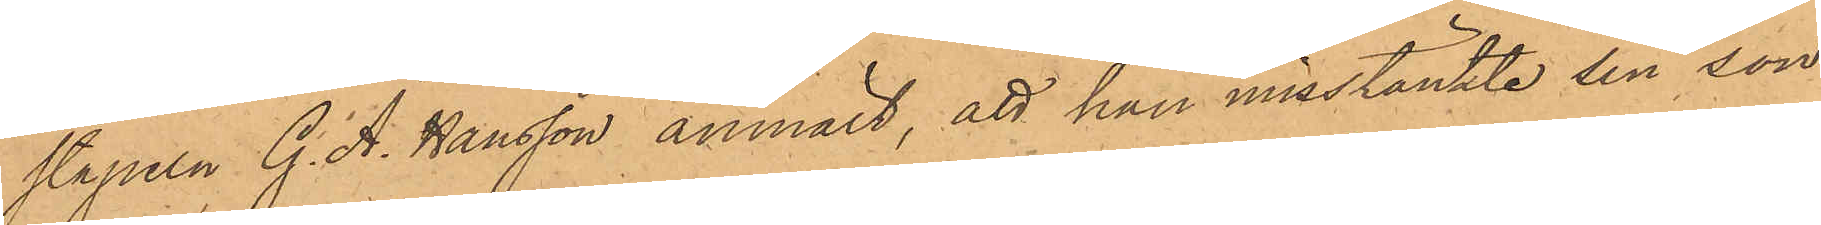stapeln G.A. Hansson anmält, att han misstänkte sin son
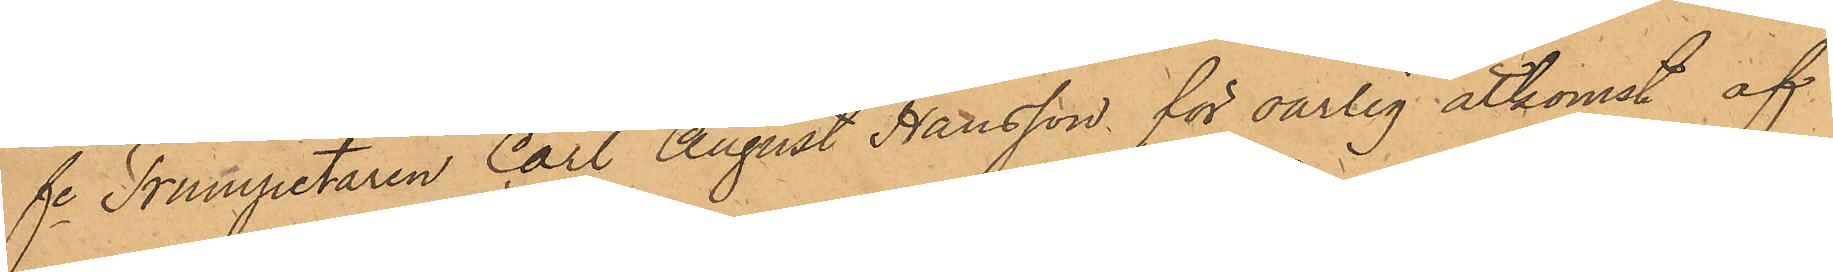fre Trumpetaren Carl August Hansson för oärlig åtkomst af
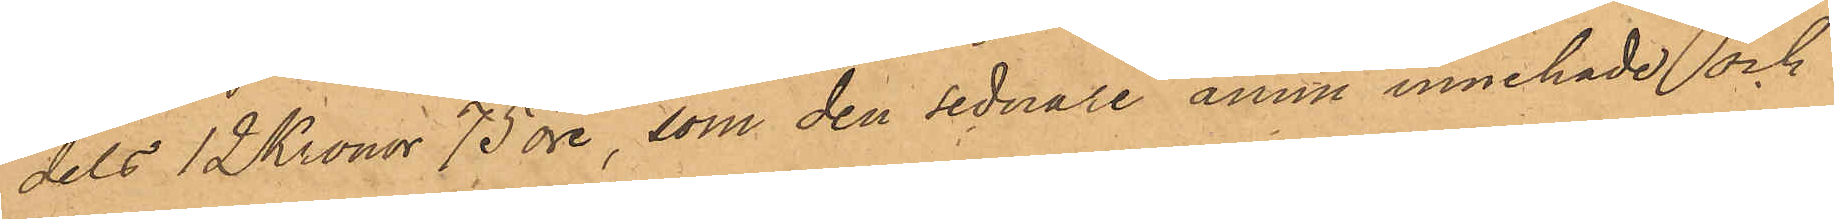dels 12 Kronor 75 öre, som den sednare ännu innehade och
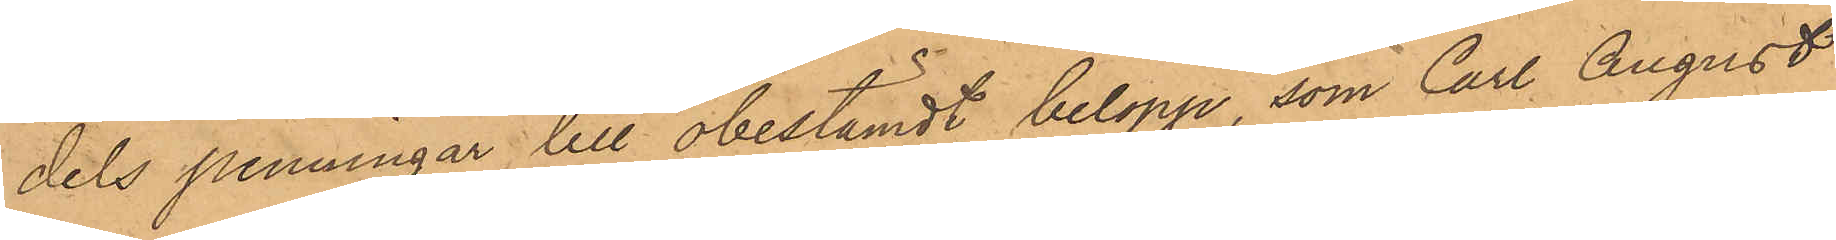dels penningar till obestämdt belopp, som Carl August
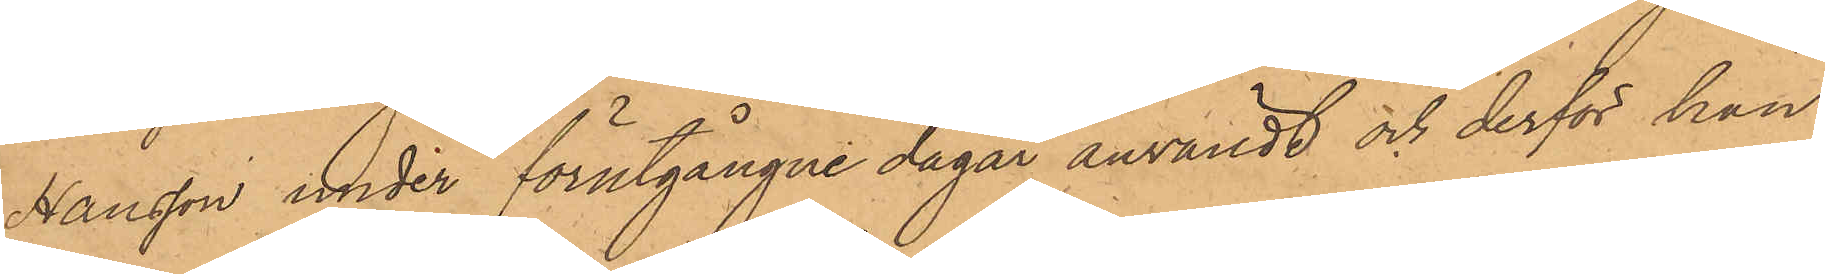Hansson under förutgångne dagar användt och derför han
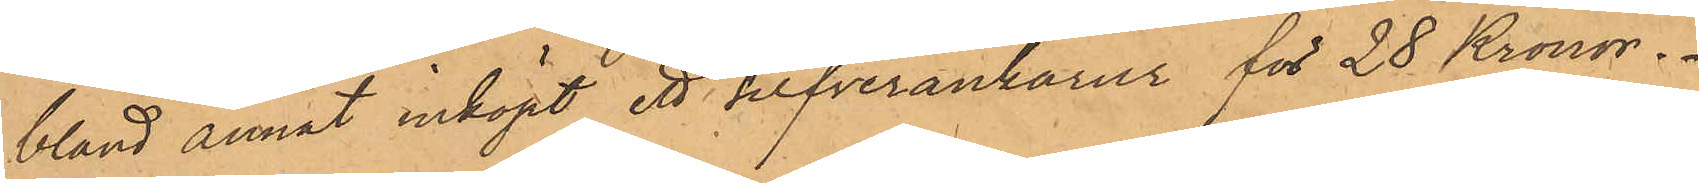bland annat inköpt ett silfverankarur för 28 Kronor.
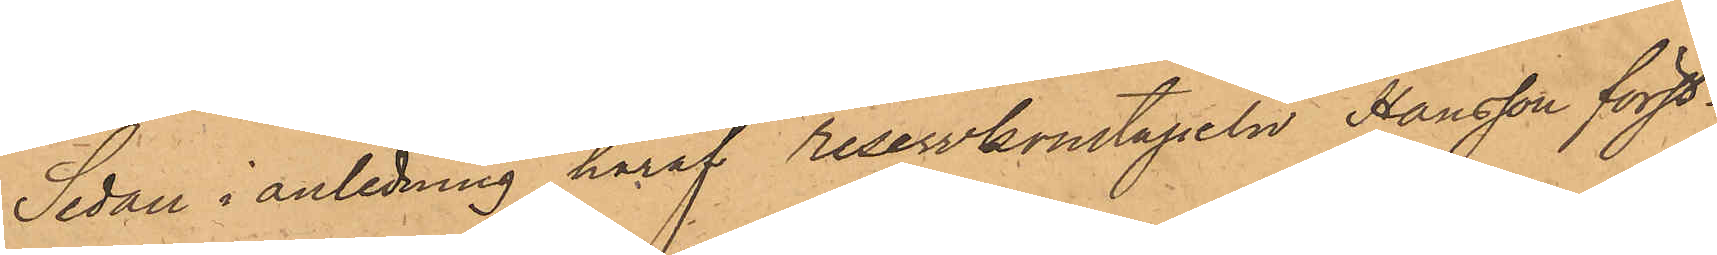Sedan i anledning häraf reservkonstapeln Hansson först¬
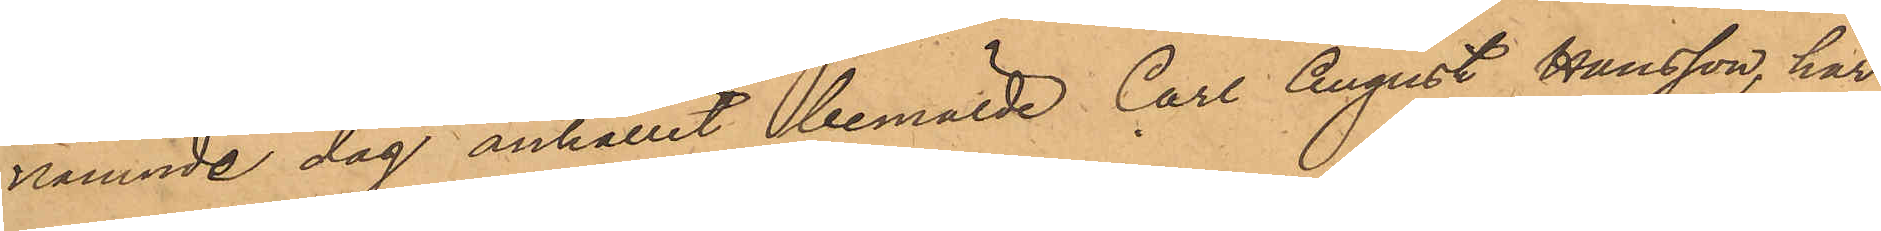nämnde dag anhållit bemälde Carl August Hansson, har
